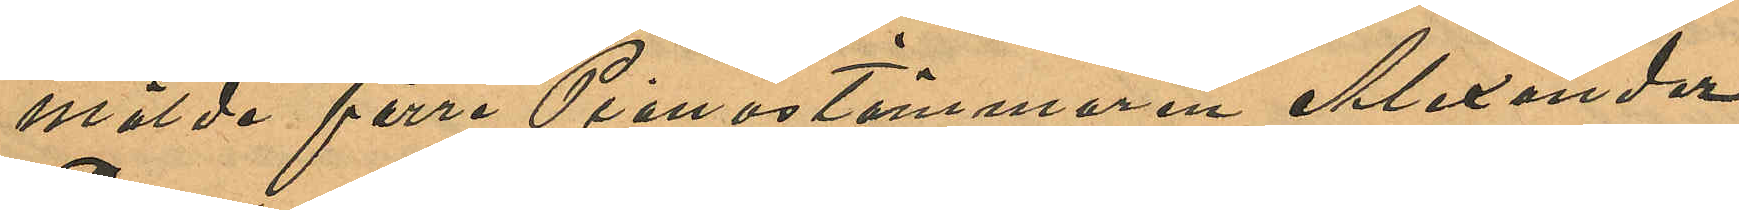mälde förre Pianostämmaren Alexander
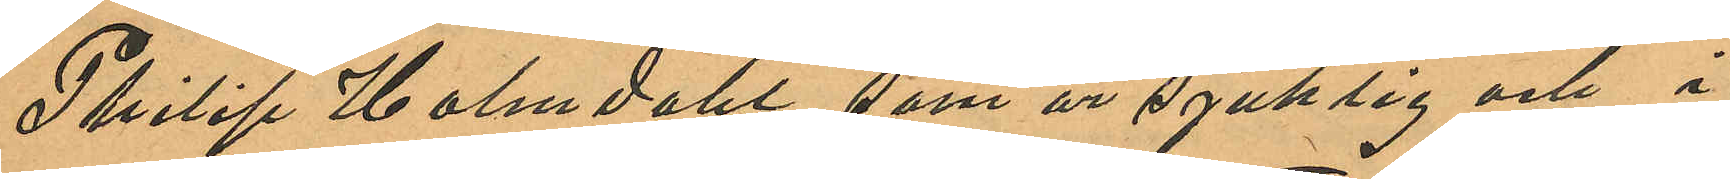Philip Holmdahl som är sjuklig och i
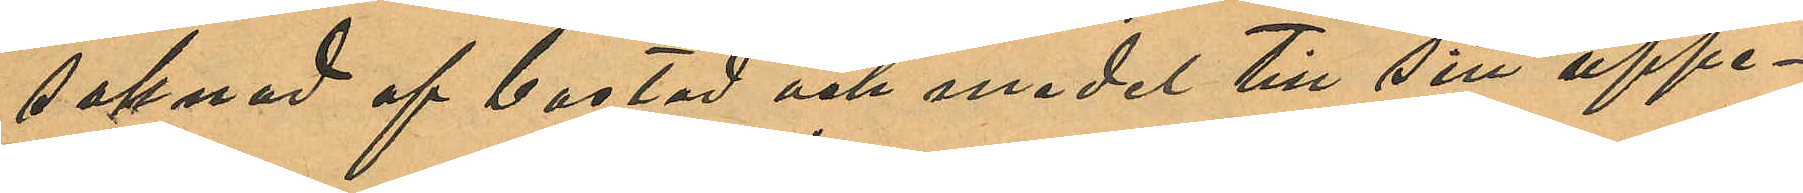saknad af bostad och medel till sitt uppe¬
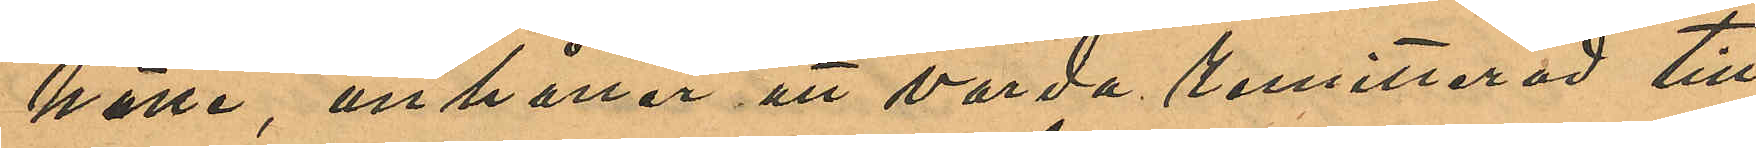hälle, anhåller att varda remitterad till
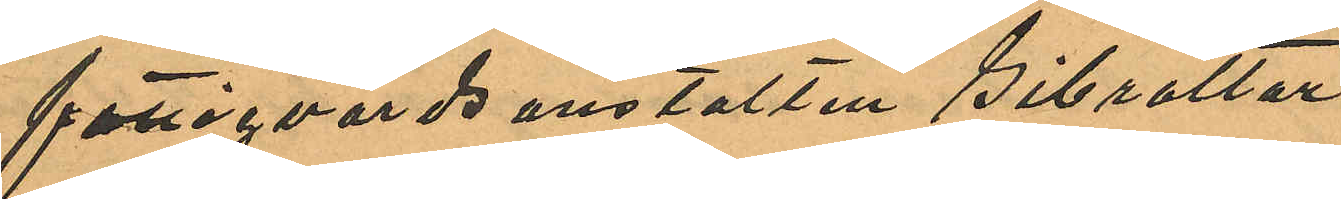fattigvårdsanstalten Gibraltar.
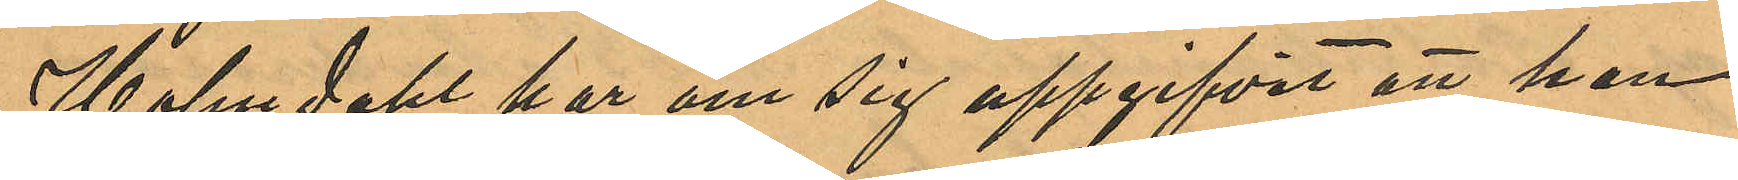Holmdahl har om sig uppgifvit att han
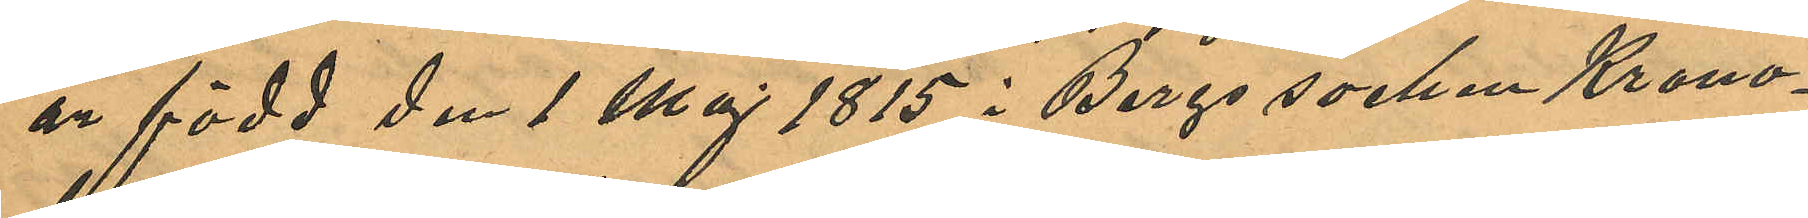är född den 1 Maj 1815 i Bergs socken Krono¬
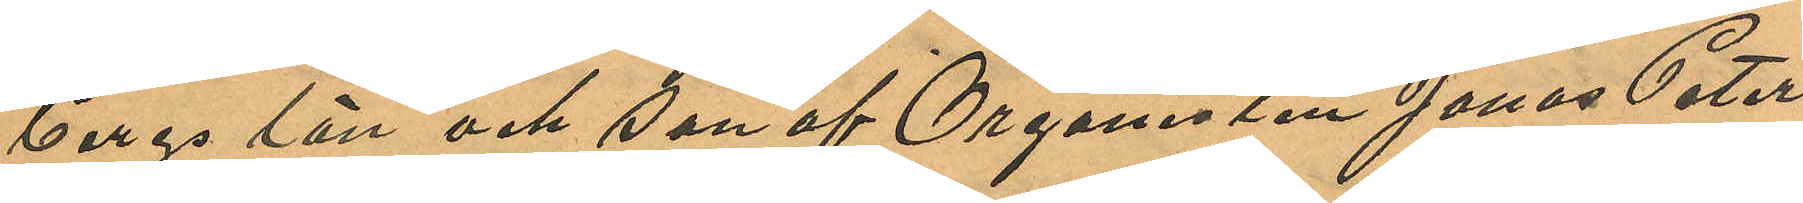bergs län och son af Organisten Jonas Peter
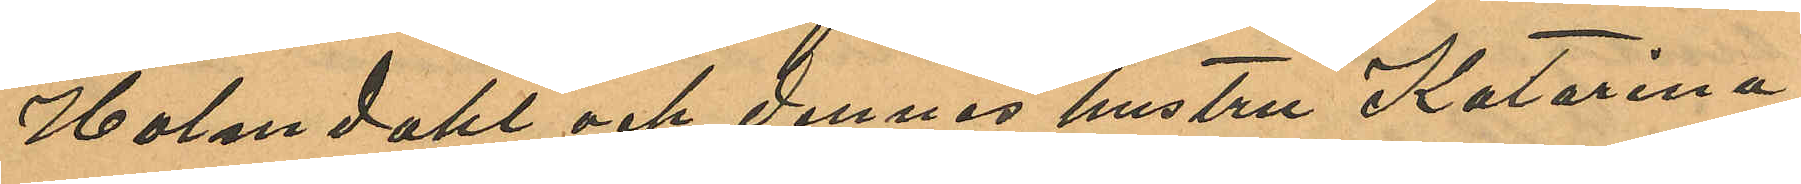Holmdahl och dennes hustru Katarina,
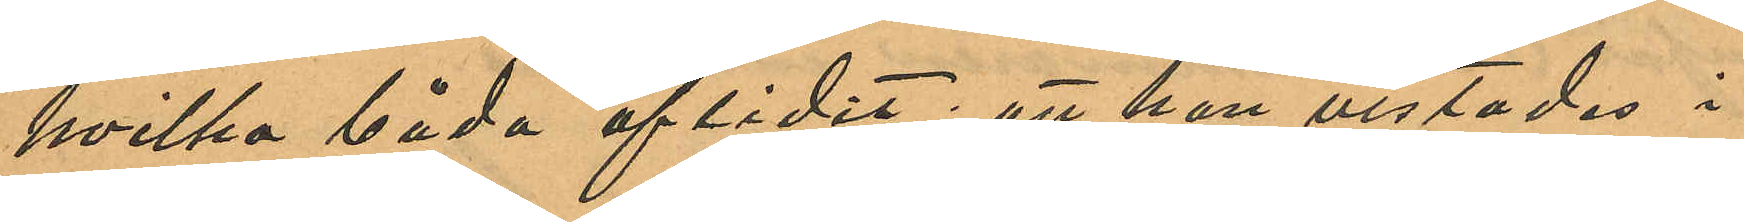hvilka båda aflidit; att han vistades i
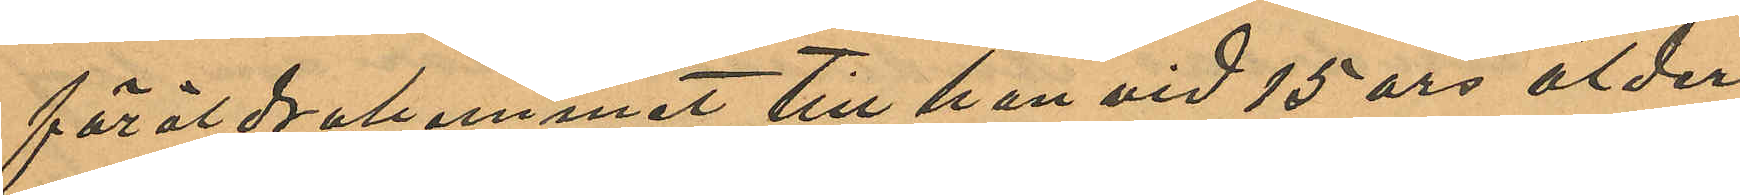föräldrahemmet till han vid 15 års ålder
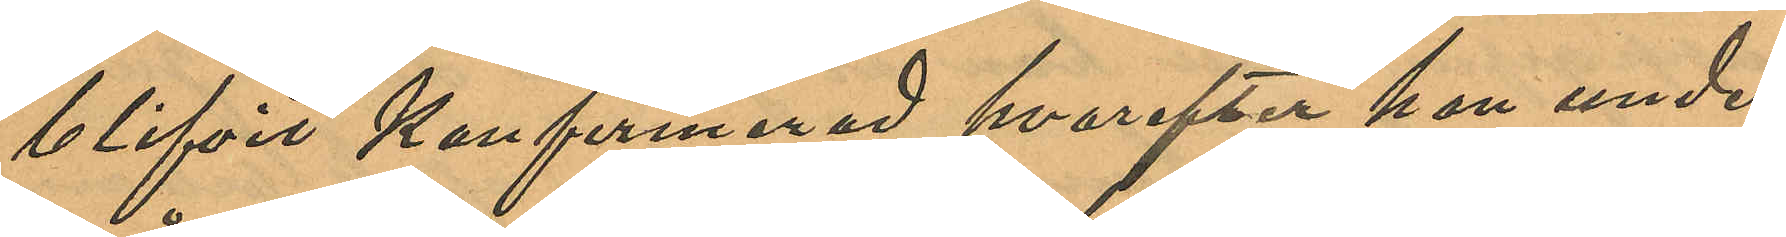blifvit konfirmerad hvarefter han under
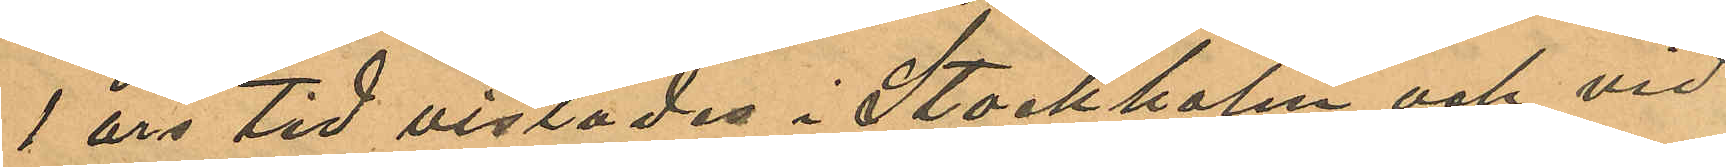1 års tid vistades i Stockholm och vid
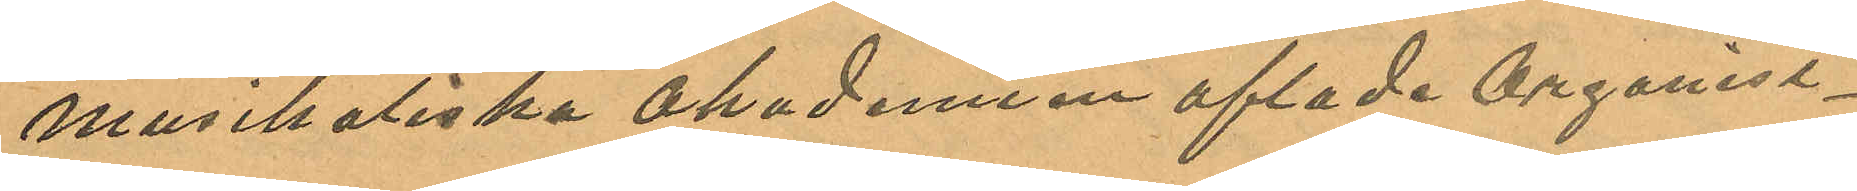Musikaliska Akadmien aflade Organist¬
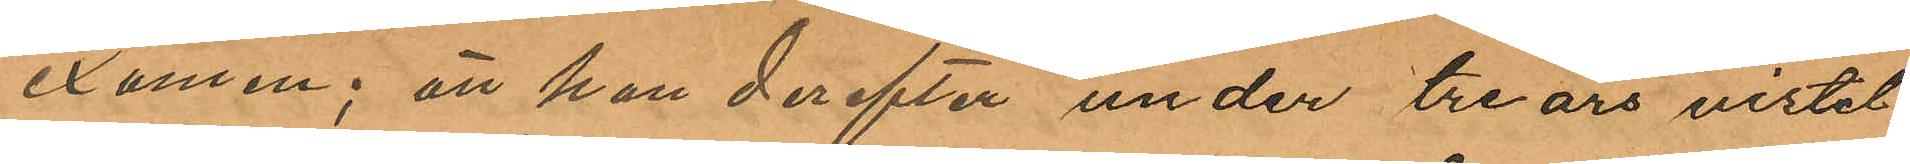examen; att han derefter under tre års vistel
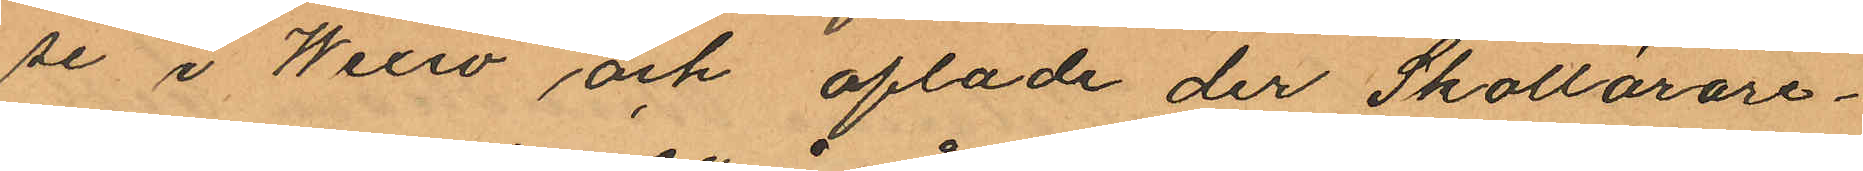se i Wexiö och aflade der Skollärare¬
